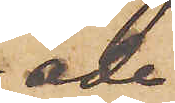ade
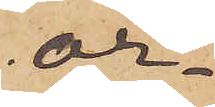or¬
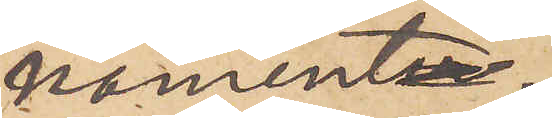nament.
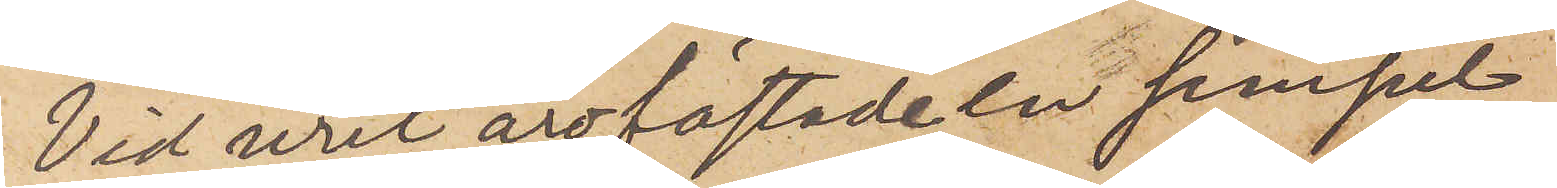Vid uret äro fästade en simpel
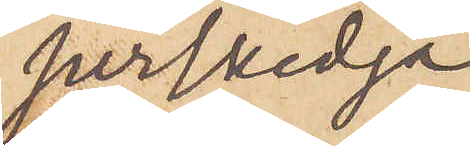perlkedja
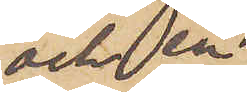och en
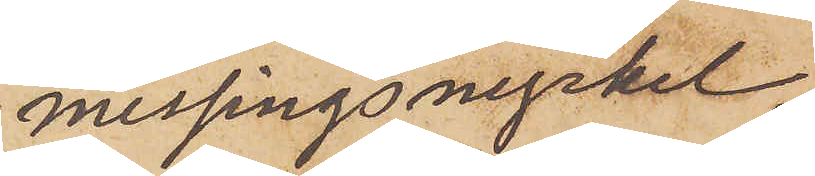messingsnyckel,
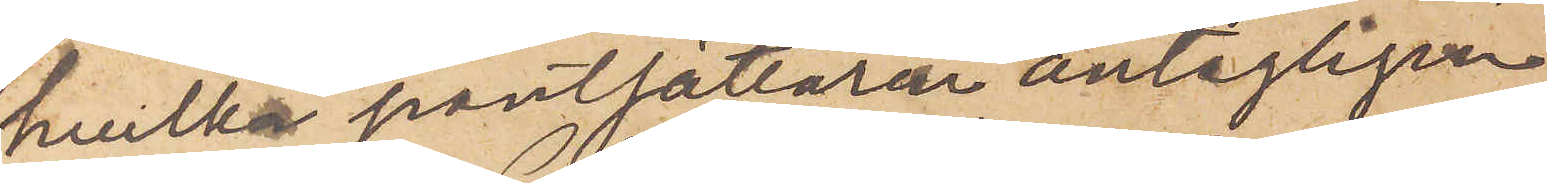hvilka pantsättaren antagligen
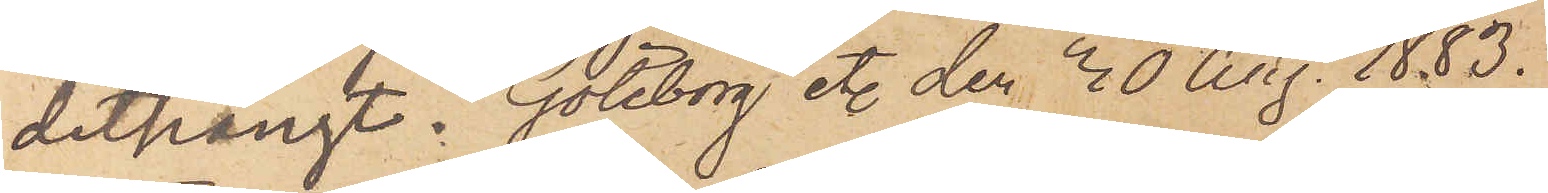dithängt. Göteborg etc den 30 Aug. 1883.
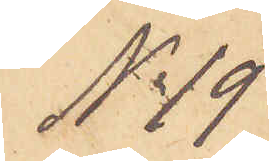No 19
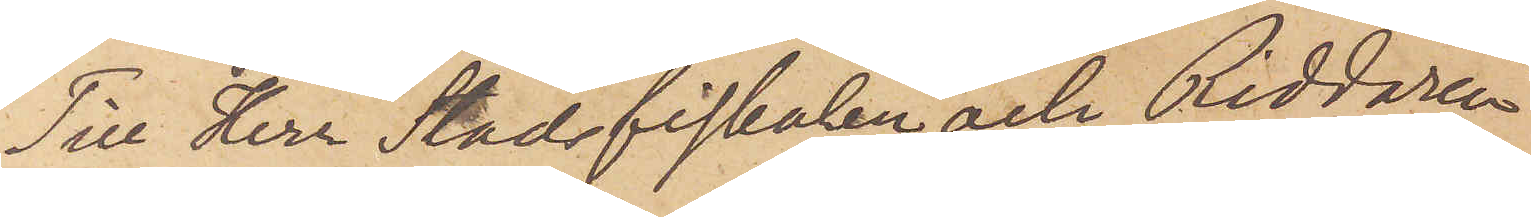Till Herr Stadsfiskalen och Riddaren
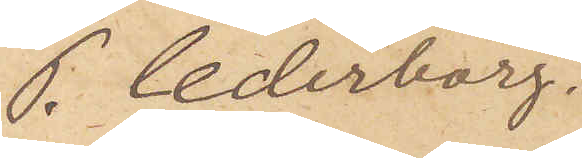P. Cederborg.
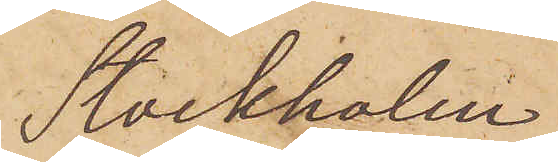Stockholm.
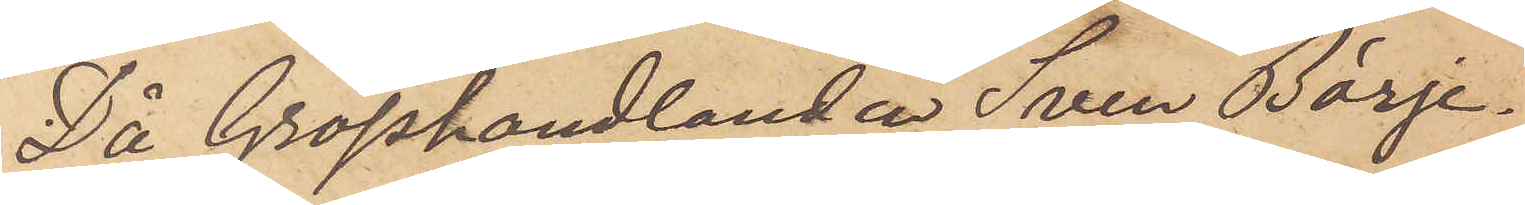Då Grosshandlanden Sven Börje¬
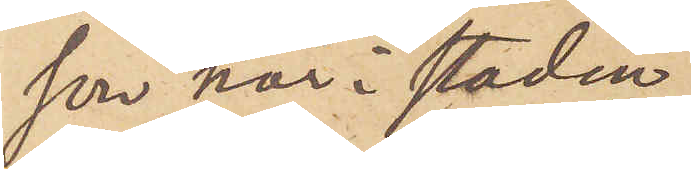son här i staden
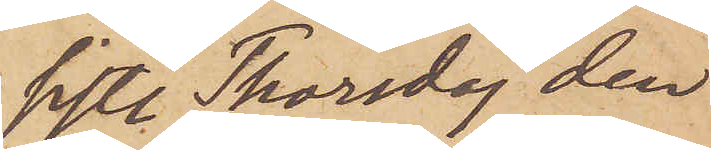sistl Thorsdag den
